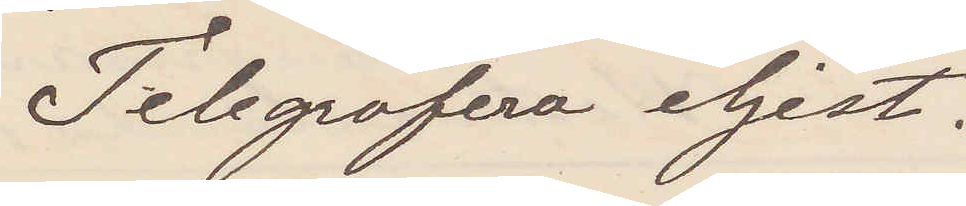Telegrafera eljest.
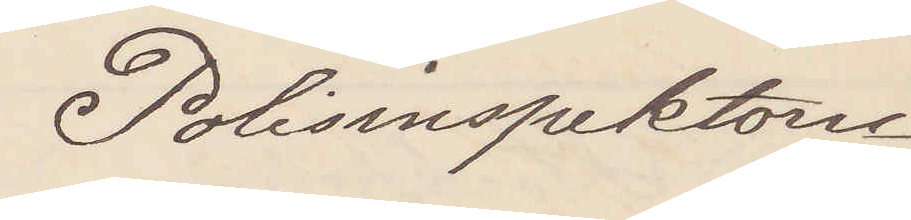Polisinspektorn
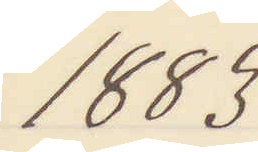1883
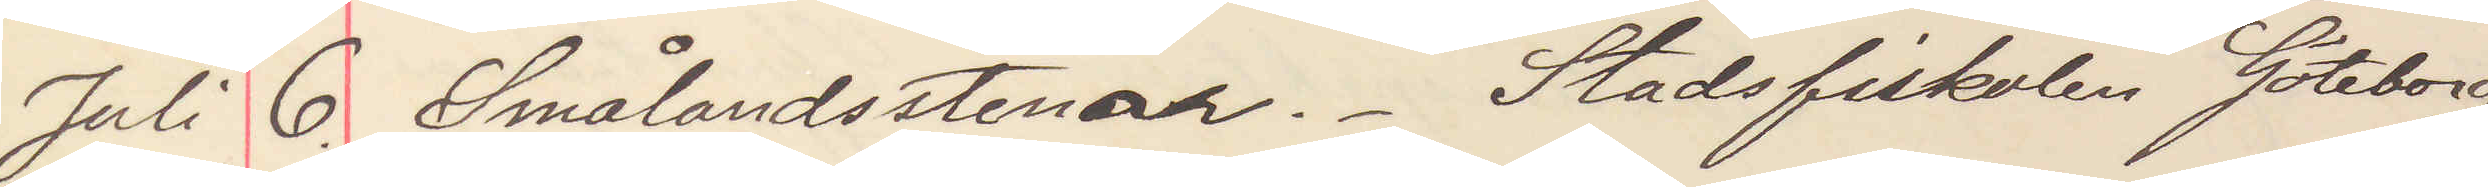Juli 6. Smålandsstenar. Stadsfiskalen Göteborg
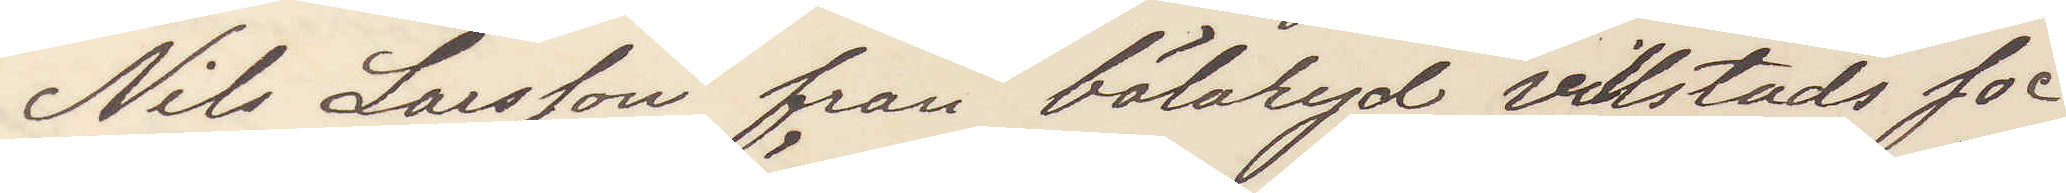Nils Larsson från bölaryd, villstads soc¬
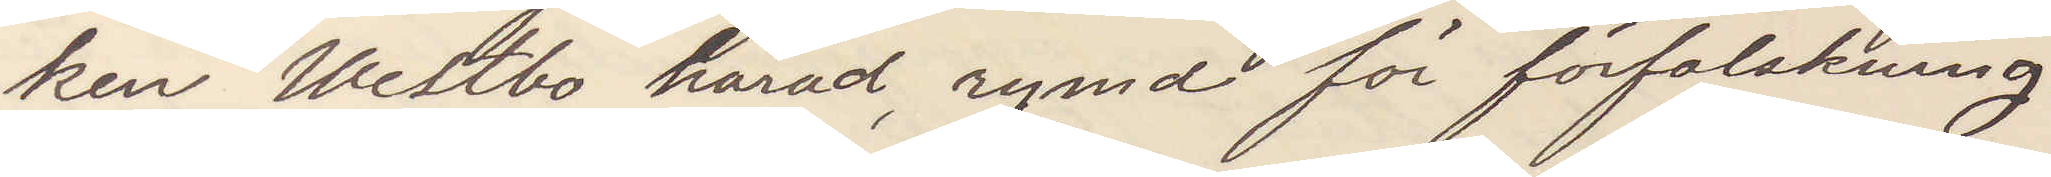ken Westbo härad, rymd för förfalskning
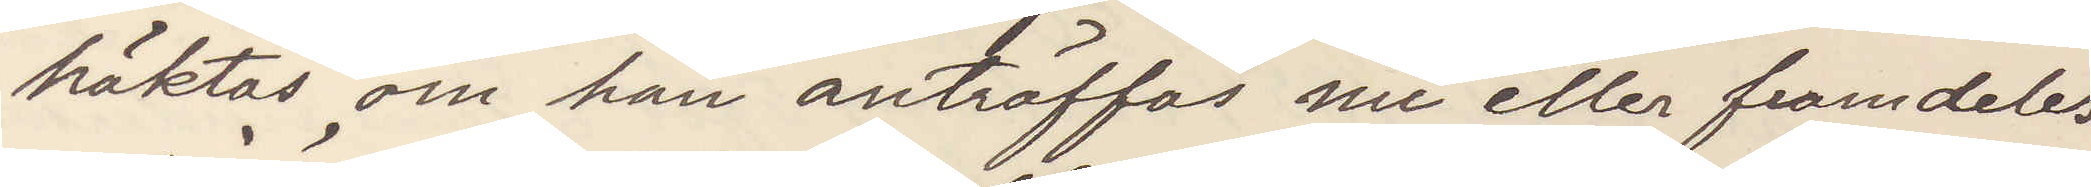häktas om han anträffas nu eller framledes
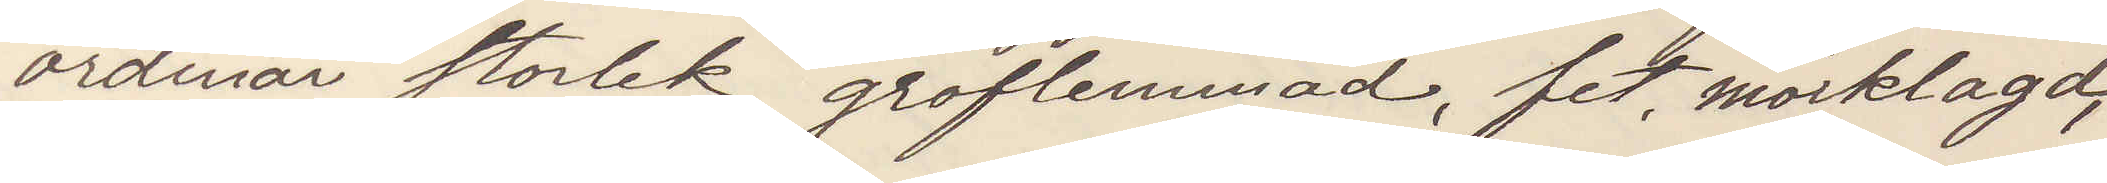ordinär storlek groflemmad, fet mörklagd,
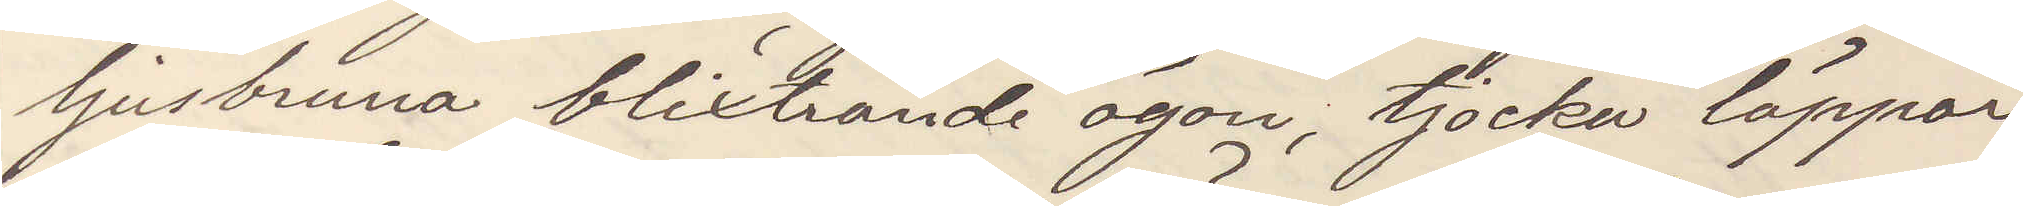ljusbruna blixtrande ögon, tjocka läppar
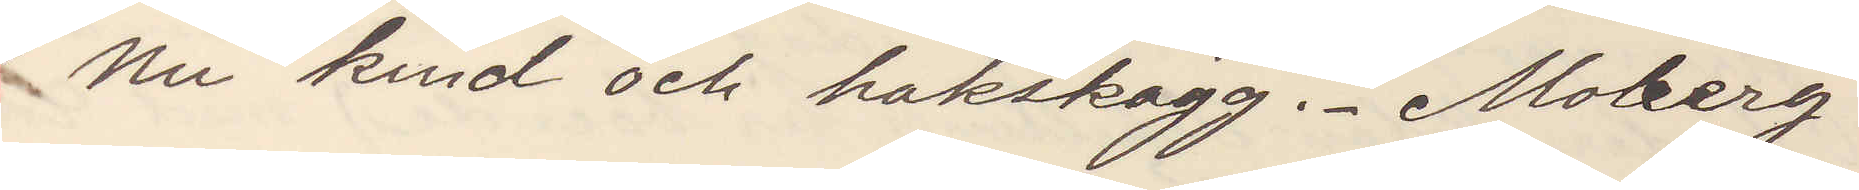Nu kind och hakskägg. Moberg.
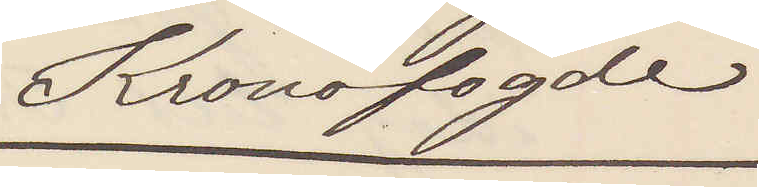Kronofogde
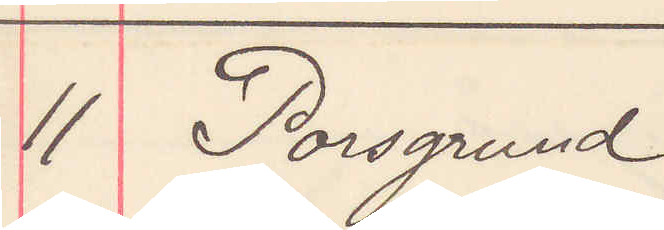11 Porsgrund
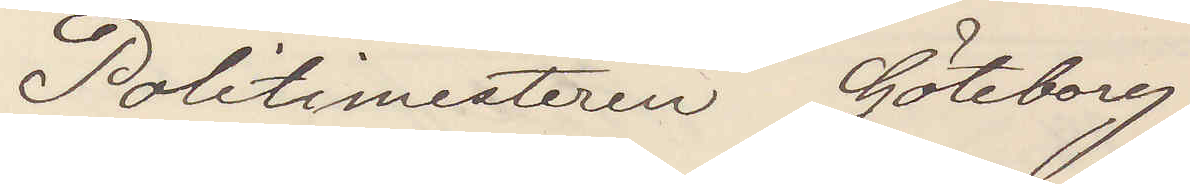Politimesteren Göteborg
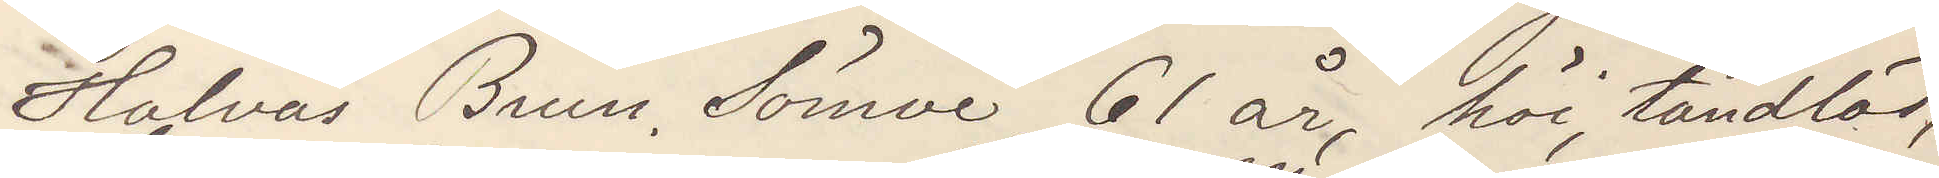Halvas Brun. Sömve, 61 år, höi, tandlös,
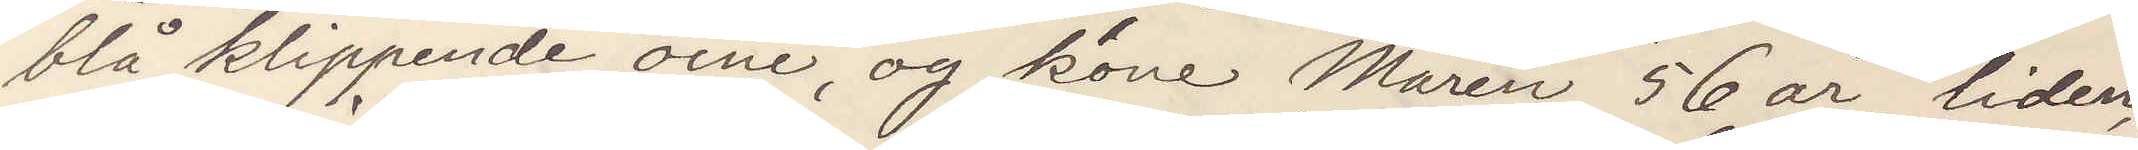blå klippende oine, og kone Mären, 56 år, liden,
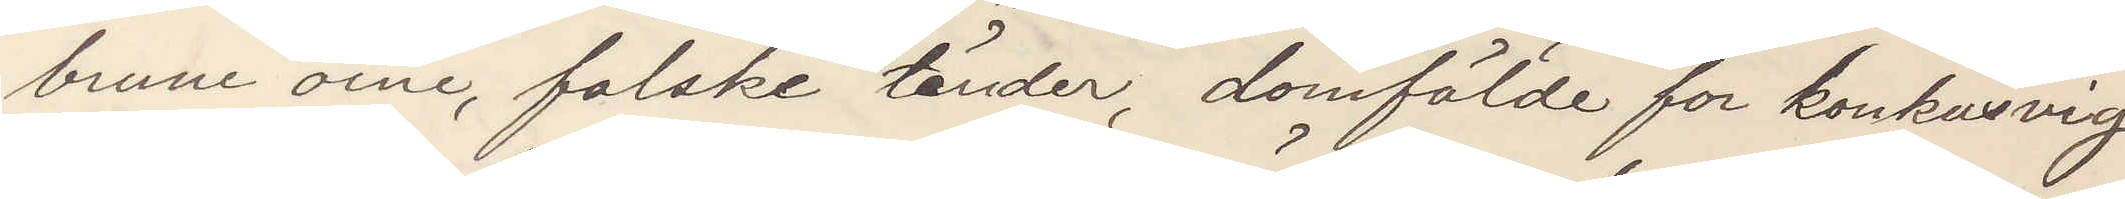brune öine, falske tänder, domfälde for konkusvig
